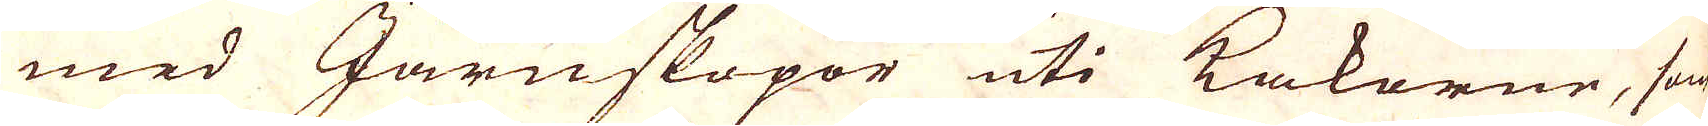med Järnskopor uti Takorne, som
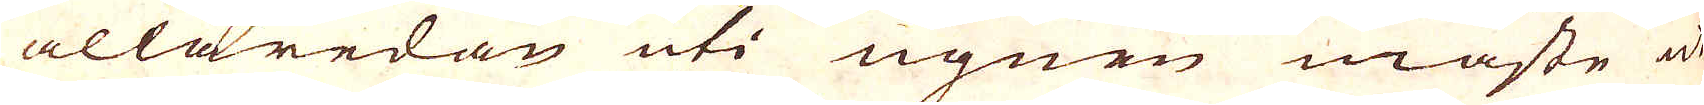allaredan uti ugnen måste 
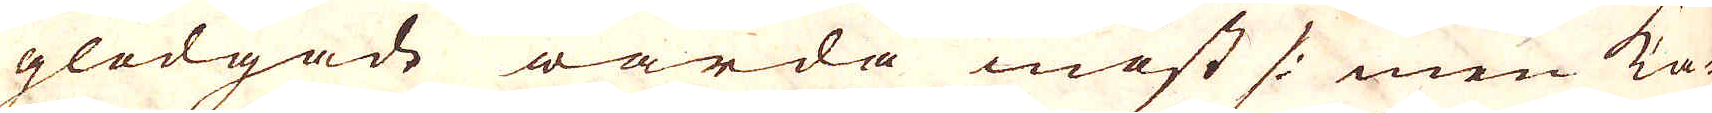glödgade warda inöst /: men ka-
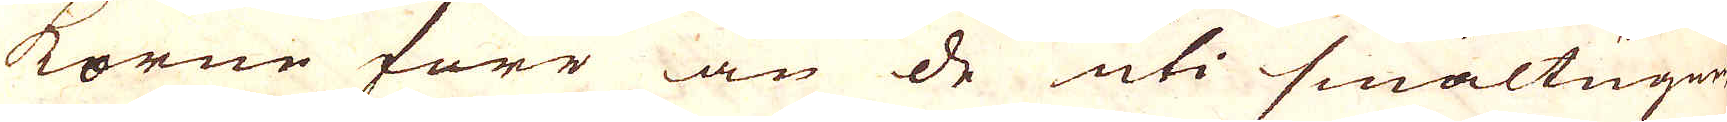korne förr än de uti smältugnen
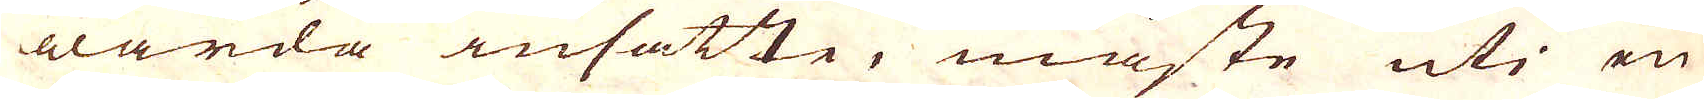warda insatte, måste uti en
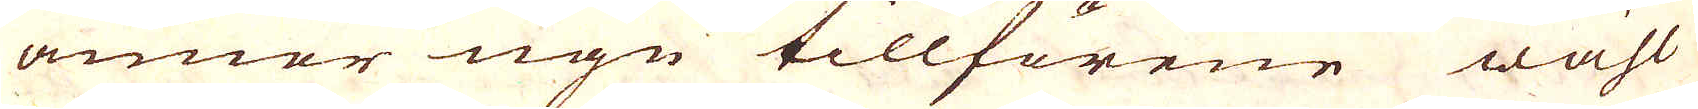annor ugn tillförene wähl
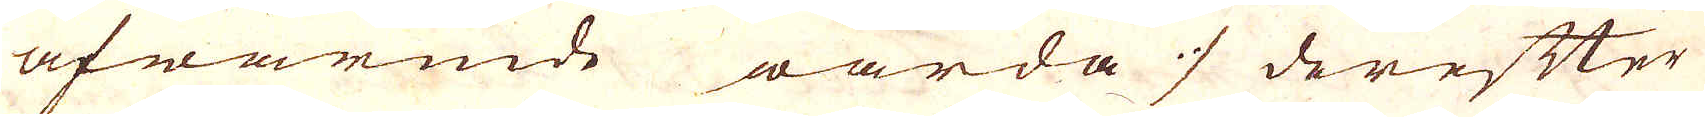afwärmde warda :/ derefter
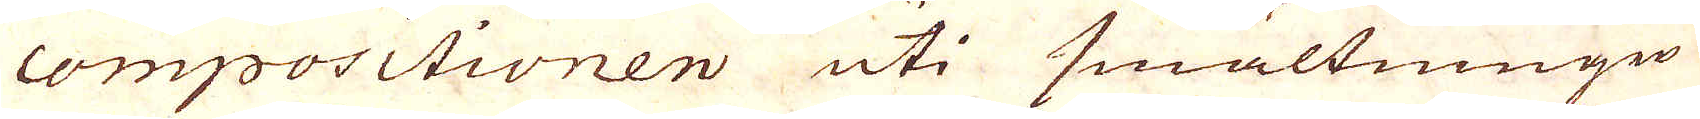compositionen uti smältningen
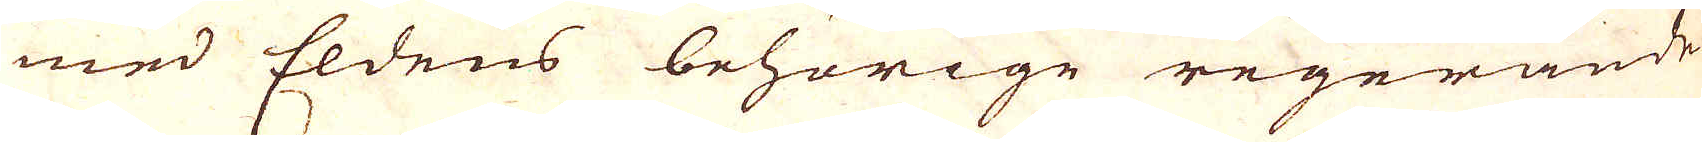med Eldens behörige regerande
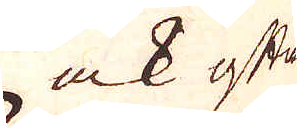ock ofta
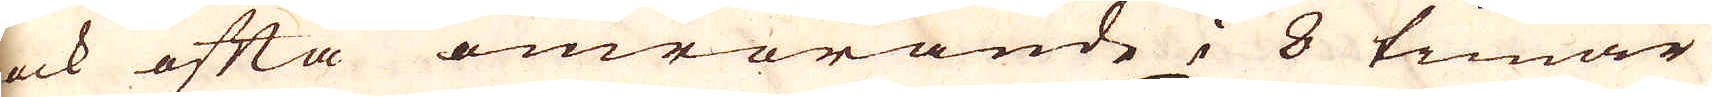ock ofta omrörande i 8 timar
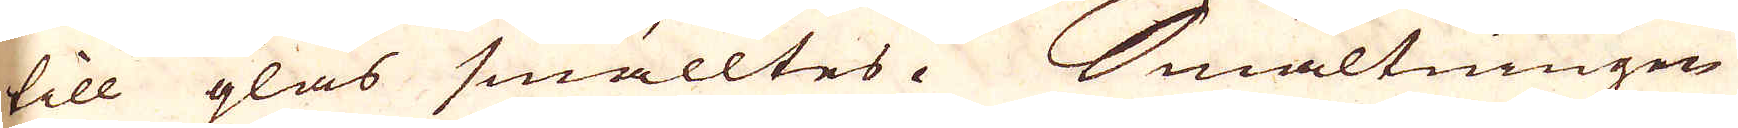till glas smälltes. Smältningen
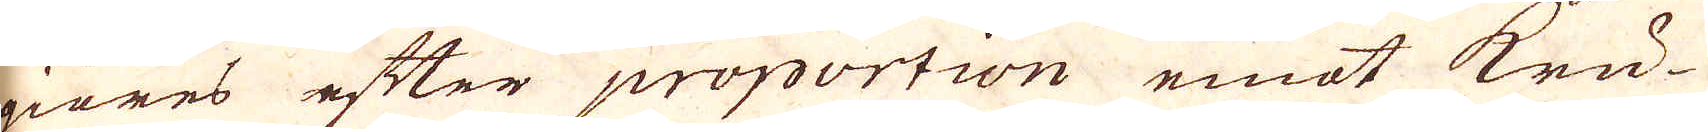giöres efter proportion emot kru-
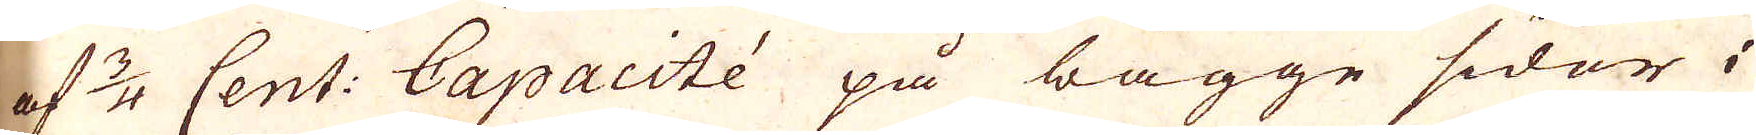af 3/4 Cent: Capacitée på bägge sidor i
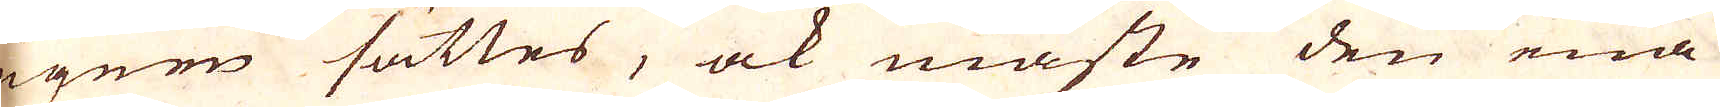ugnen sättes, ock måste den ena
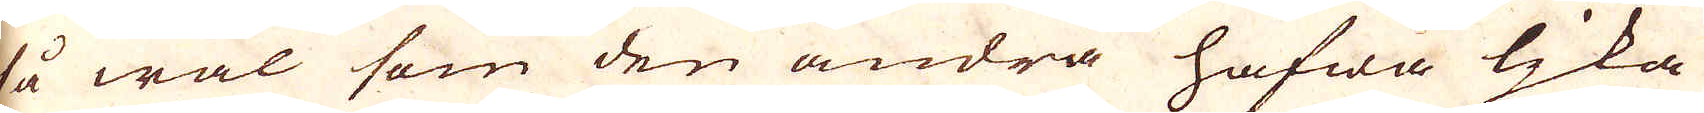så wäl som den andra hafwa lika
